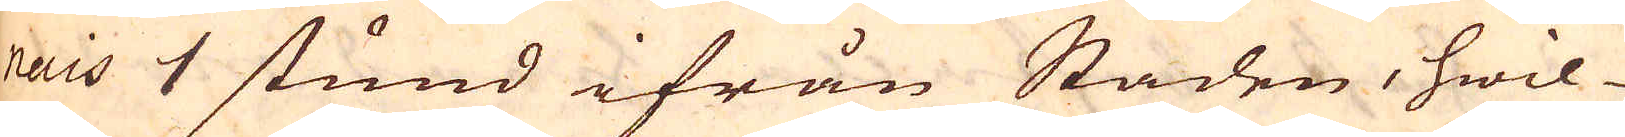nais 1 stund ifrån Staden, hwil-
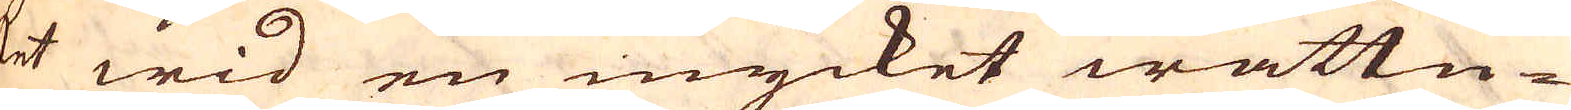ket wid en mycket wattn-
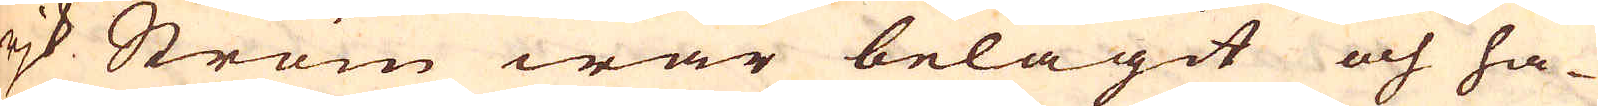rjk Ström war belägit och ha-
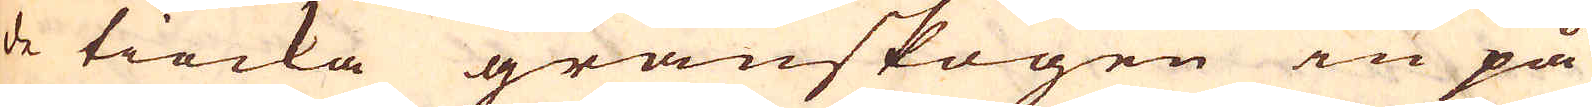de tiocka granskogen in på
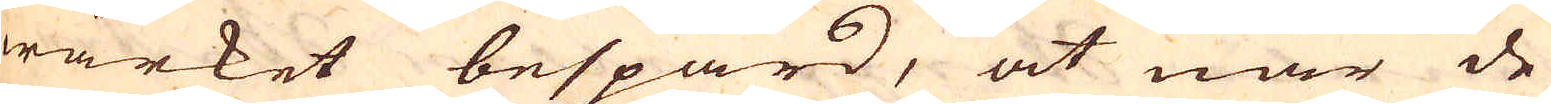wärket bespard, at när de
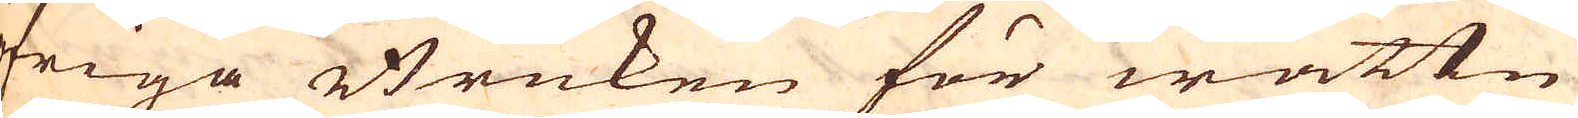öfriga Bruken för wattn
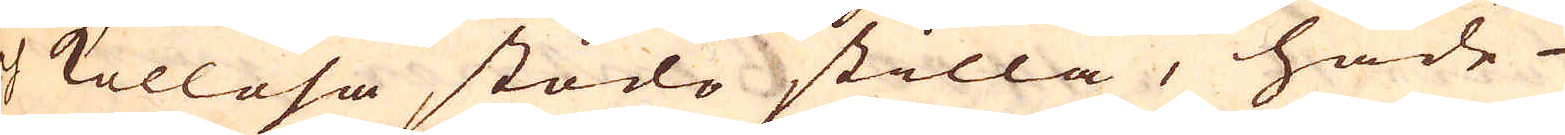och kollösa stodo stilla, hade
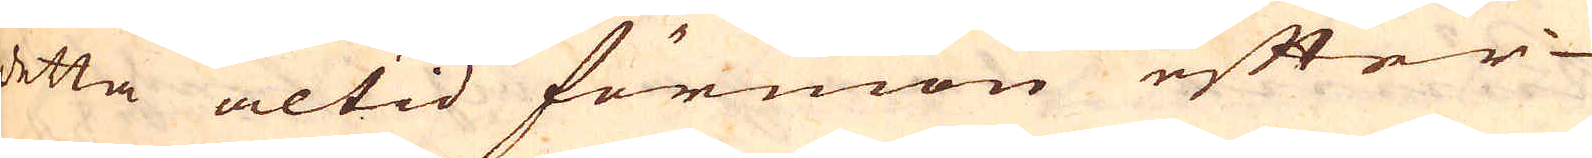detta altid förmon efter
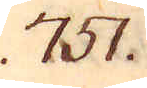751.
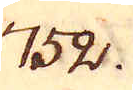752.
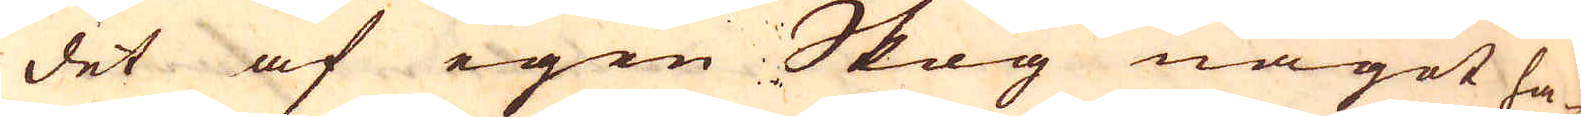det af egen Skog något ha-
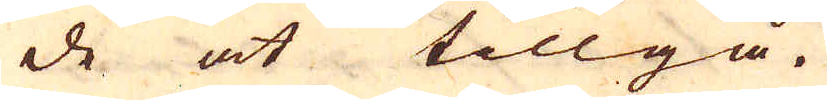de at tillgå.
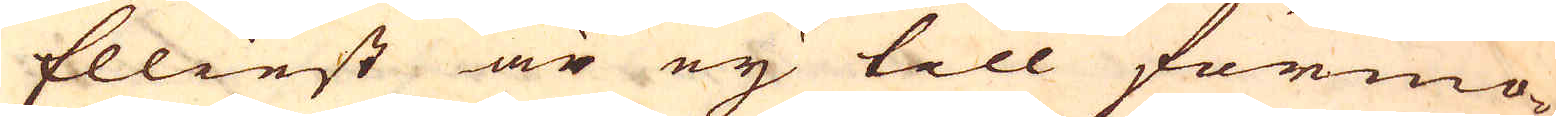Elliest är eij till förmo-
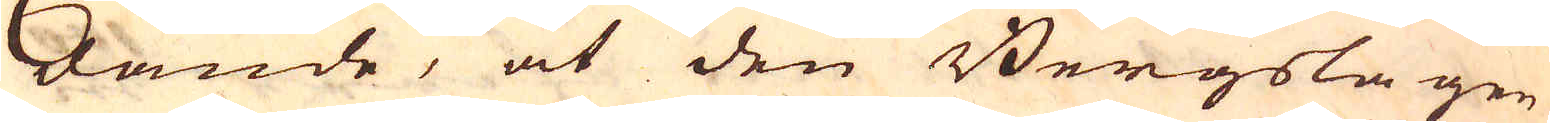dande, at den Bergslagen
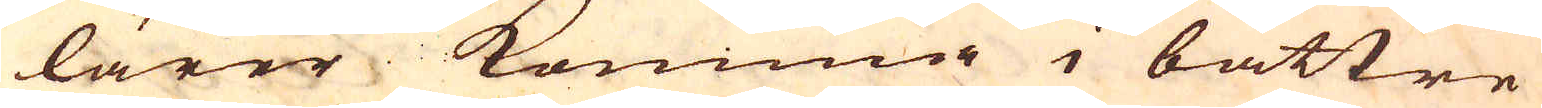lärer komma i bättre
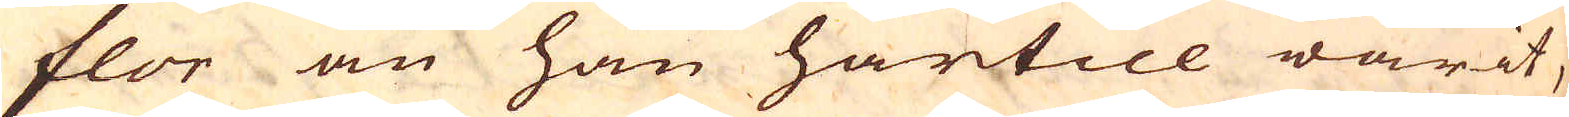flor än han härtill warit,
